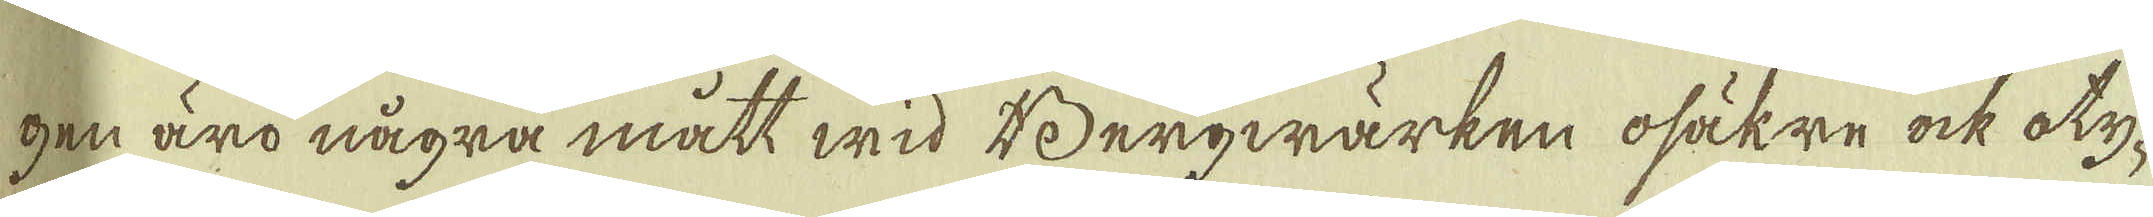gen äro några mått wid Bergwärken osäkre ock oty-
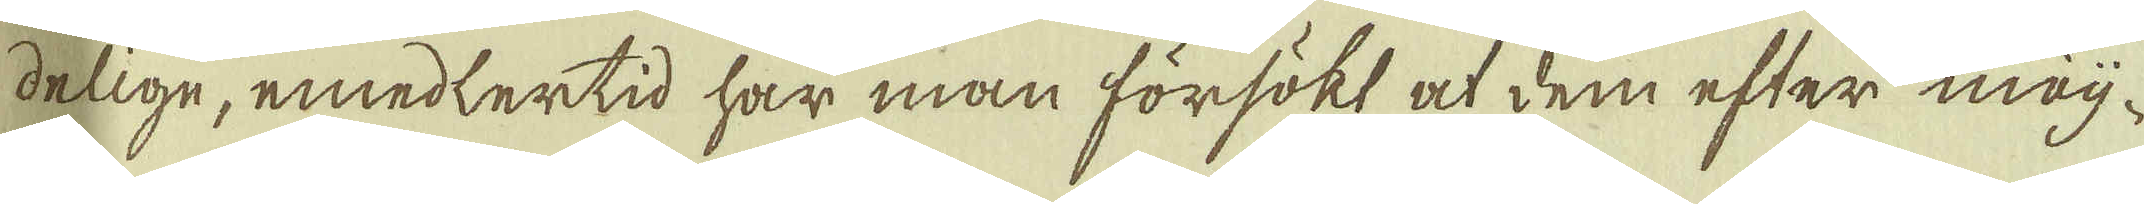delige, emedlertid har man försökt at dem efter möj-
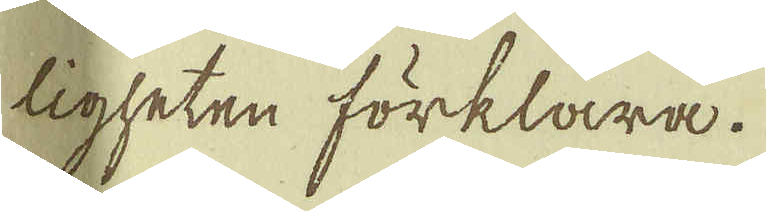ligheten förklara.
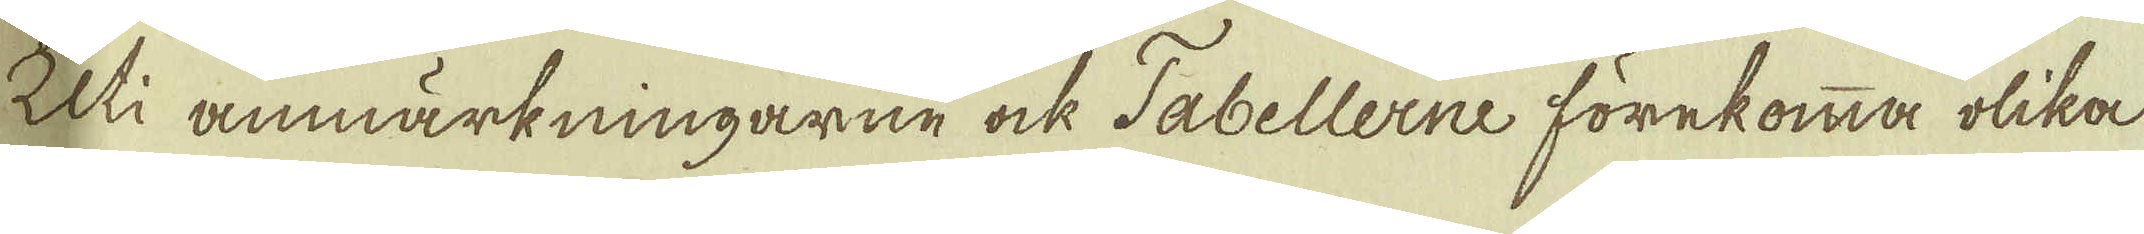Uti anmärkningarne ock Tabellerne förekomma olika
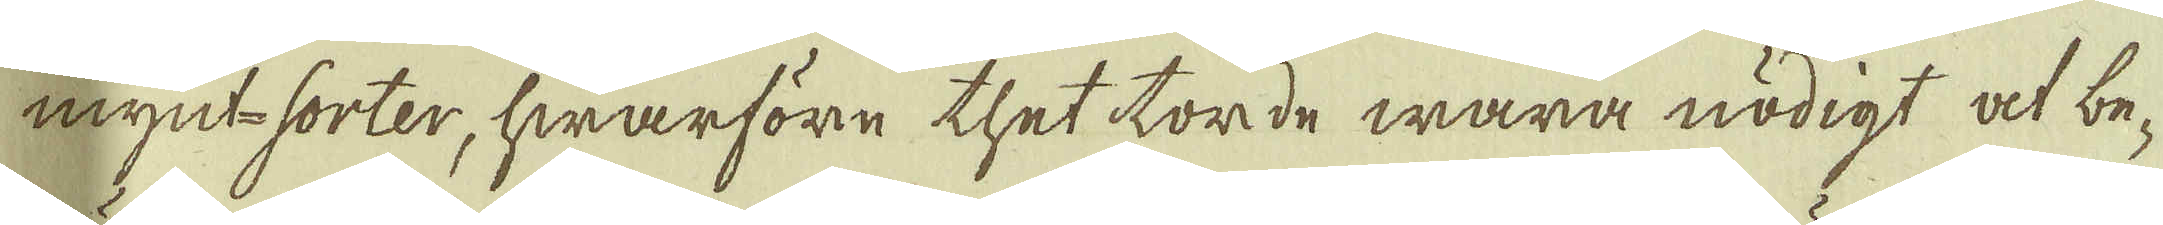mynt sorter, hwarföre thet torde wara nödigt at be-
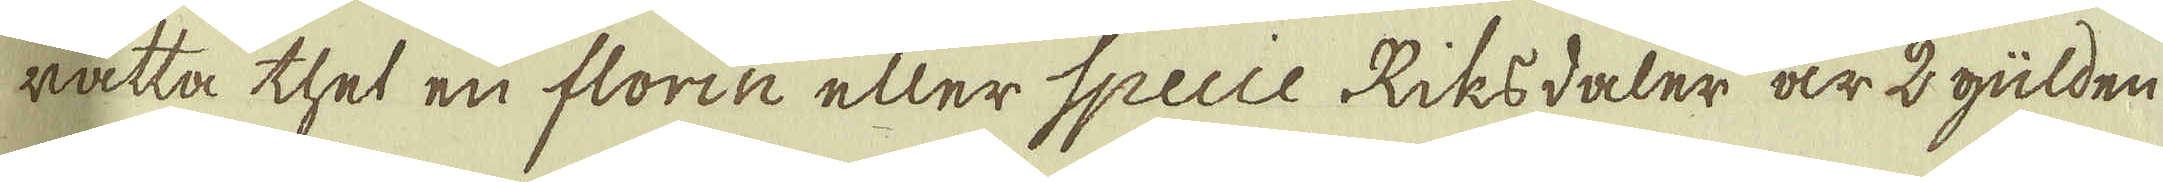rätta thet en florin eller Specie Riksdaler är 2 gülden
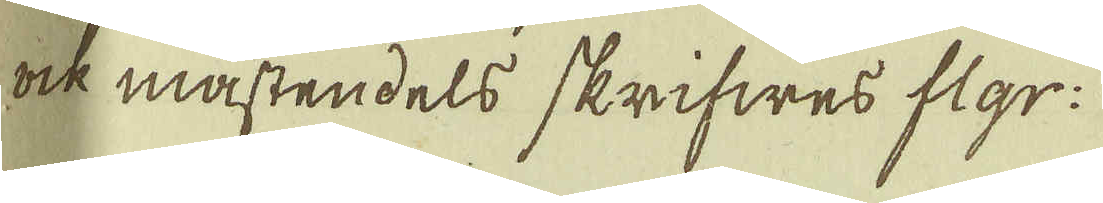ock mästendels skrifwes flgr:
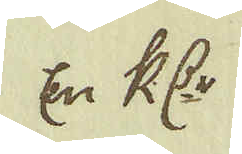En R:dr
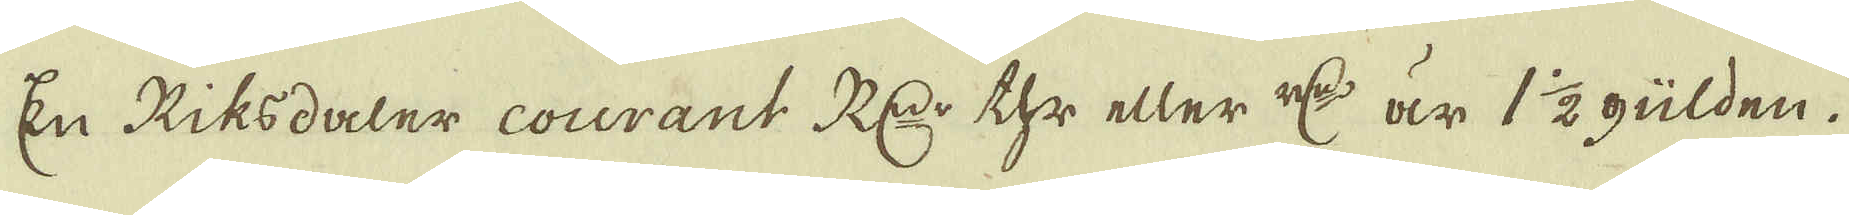En Riksdaler courant R:dr thr eller r:dr är 1½ gülden.
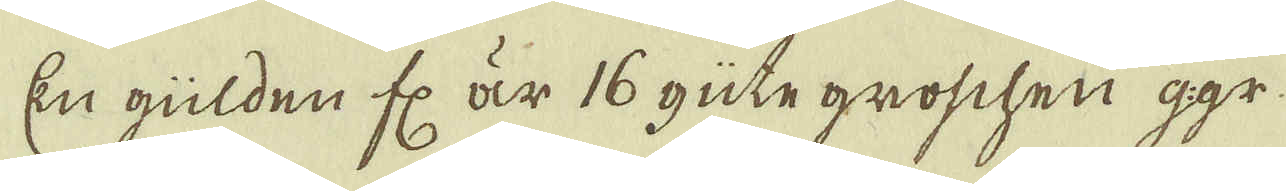En gülden fl. är 16 güte groschen g:gr.
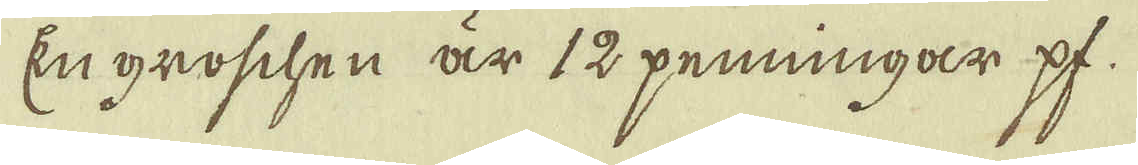En groschen är 12 penningar pf.
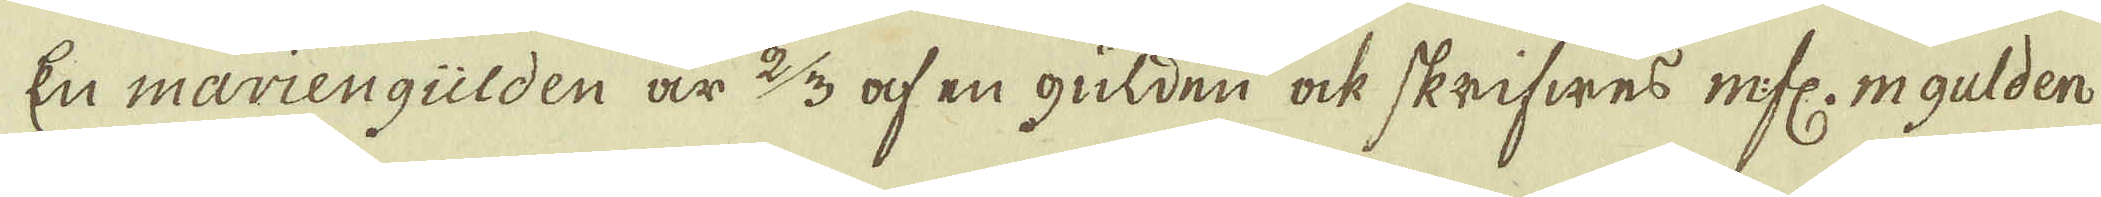En mariengülden är 2/3 af en gülden ock skrifwes m.fl. m gulden
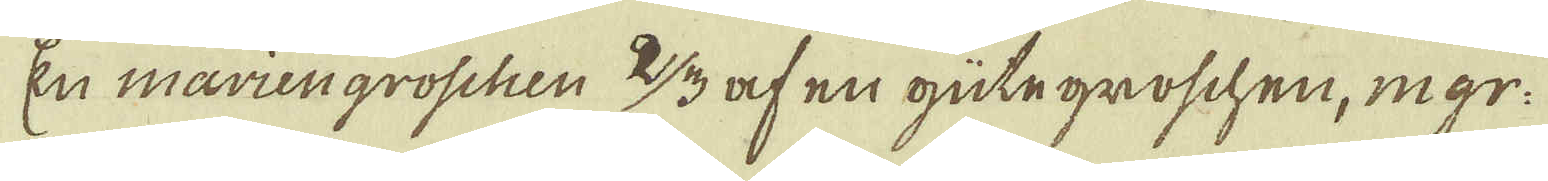En mariengroschen 2/3 af en gutegroschen, m gr.
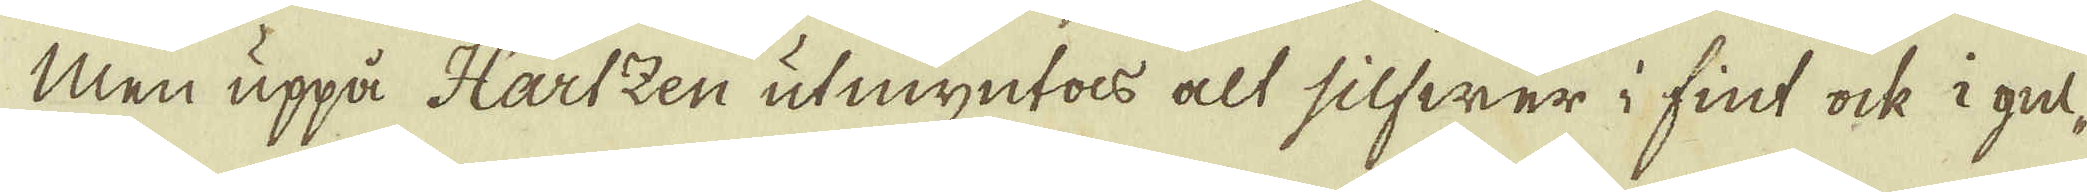Men uppå Hartzen utmyntas alt silfwer i fint ock i gul-
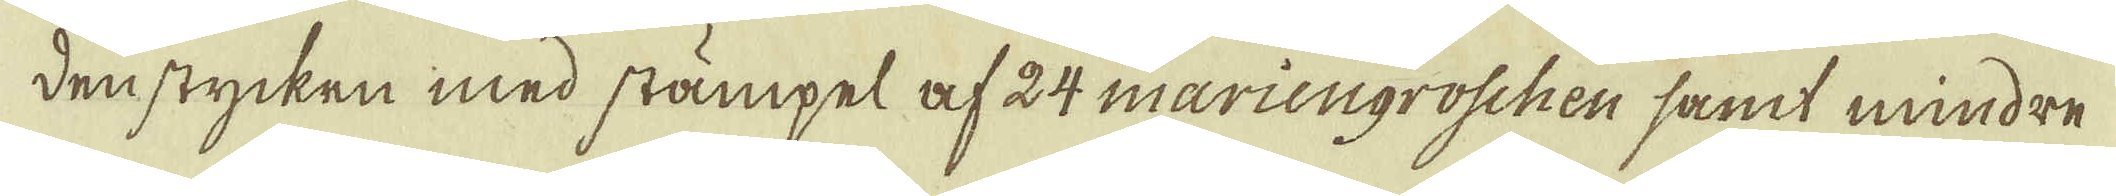den stycken med stämpel af 24 mariengroschen samt mindre
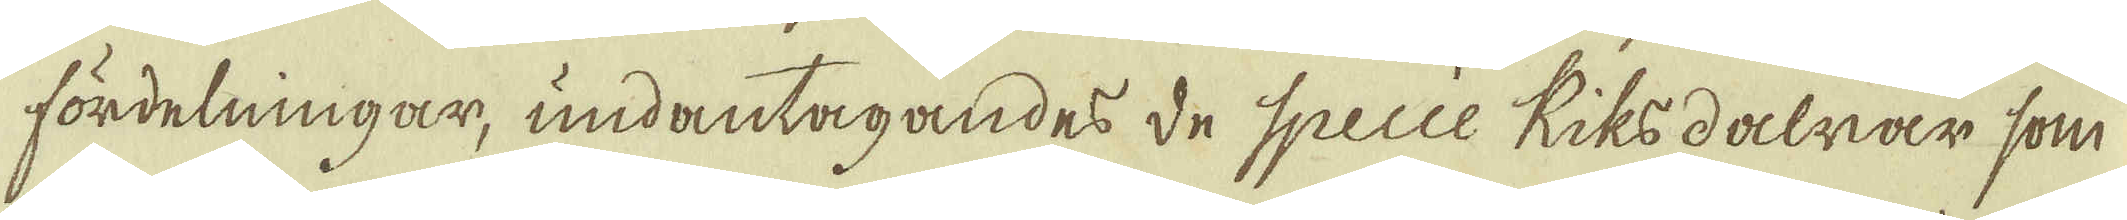fördelningar, undantagandes de Specie Riksdalrar som
